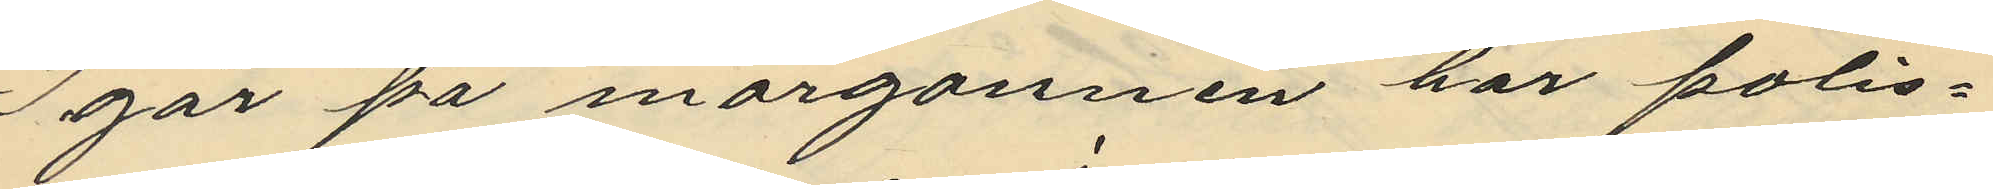Igår på morgonnen har polis¬
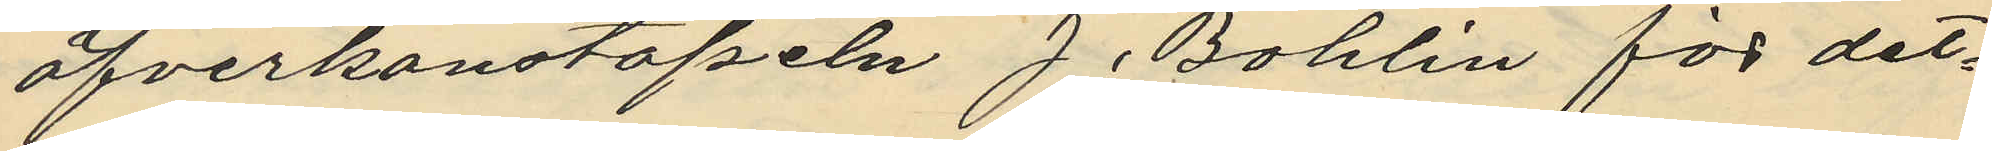öfverkonstapeln J. Bohlin för det¬
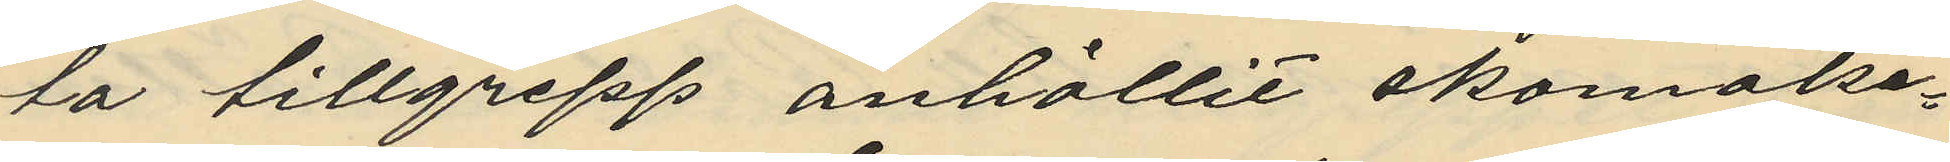ta tillgrepp anhållit skomake¬
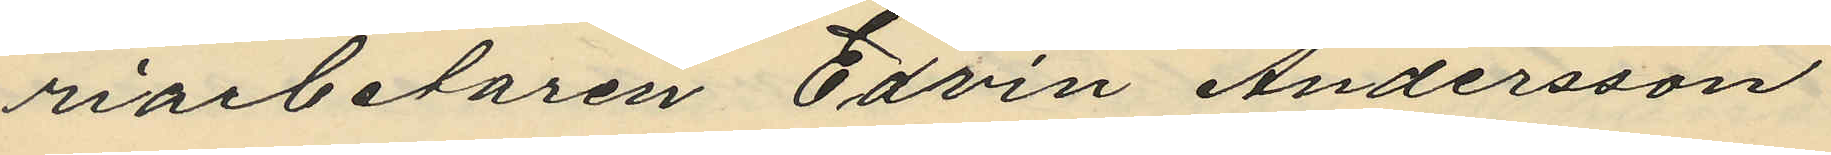riarbetaren Edvin Andersson
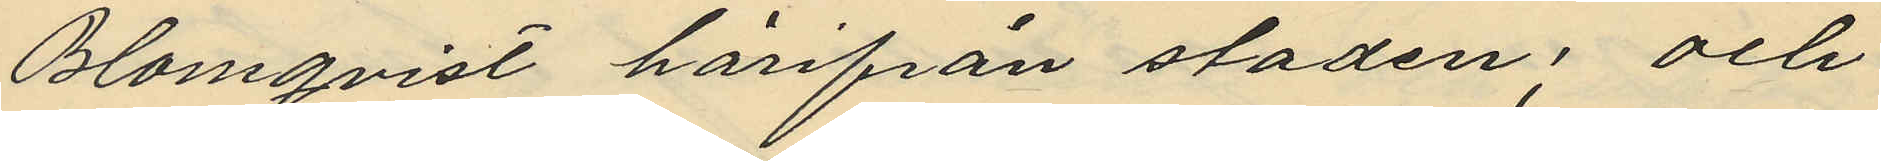Blomqvist härifrån staden; och
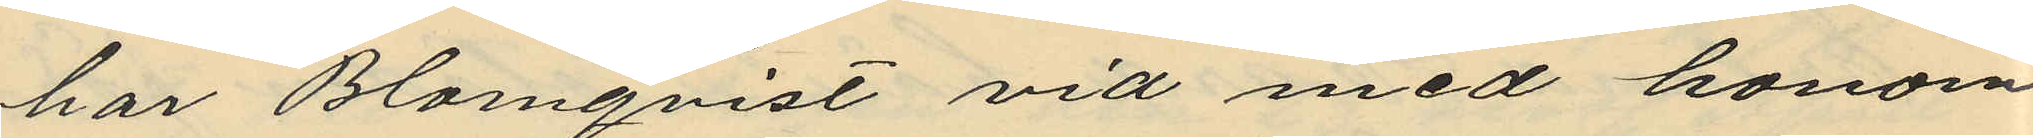har Blomqvist vid med honom
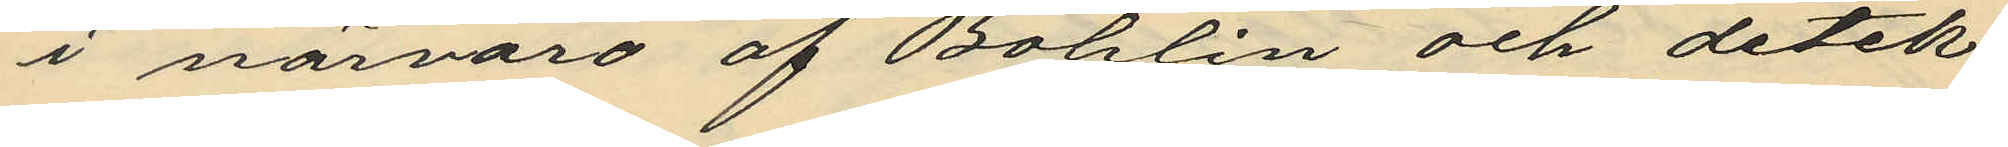i närvaro af Bohlin och detek¬
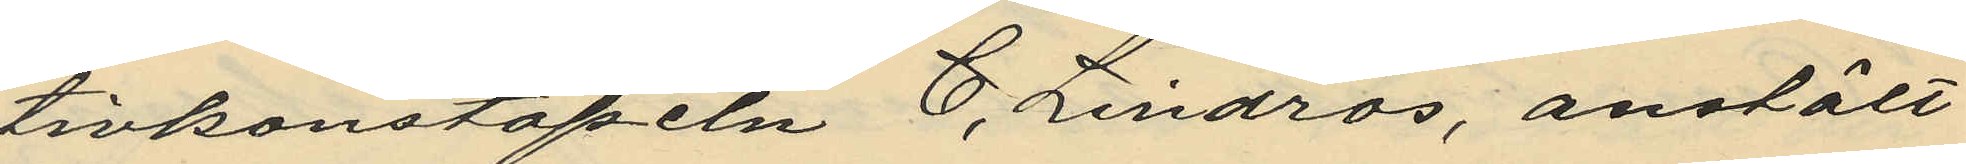tivkonstapeln C. Lindros, anstält
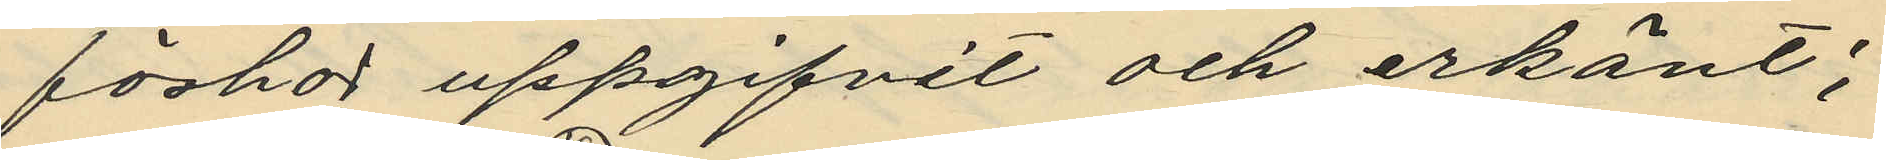förhör uppgifvit och erkänt;
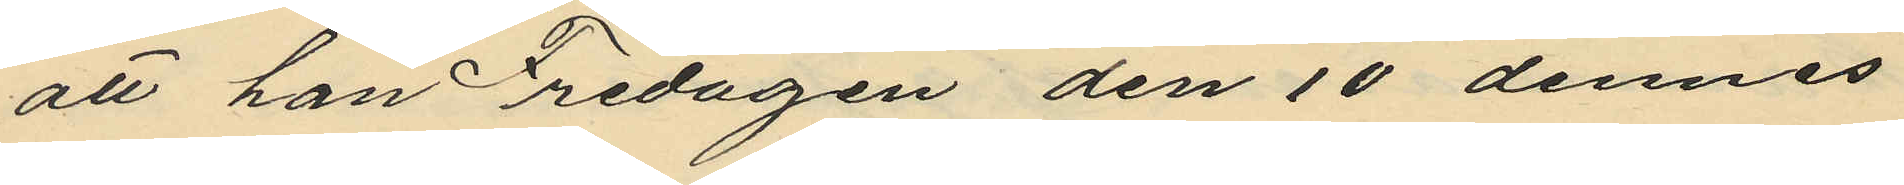att han Fredagen den 10 dennes
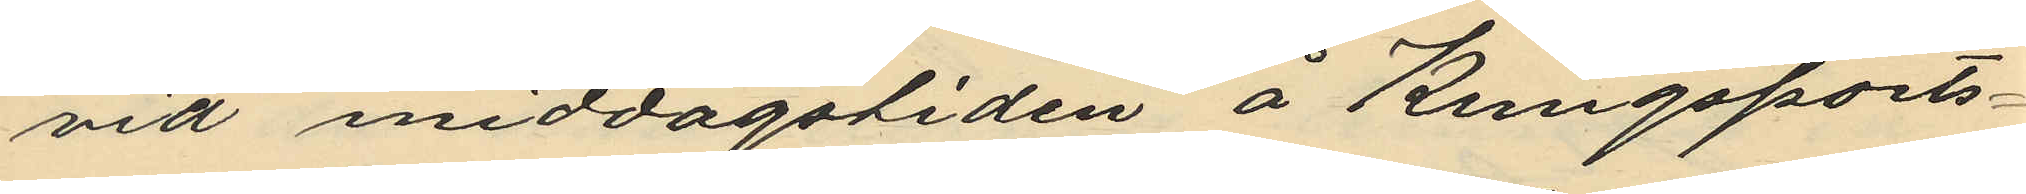vid middagstiden å Kungsports¬
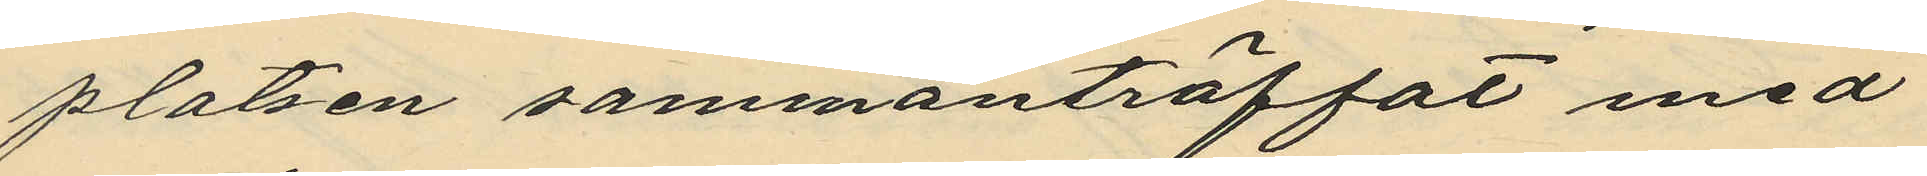platsen sammanträffat med
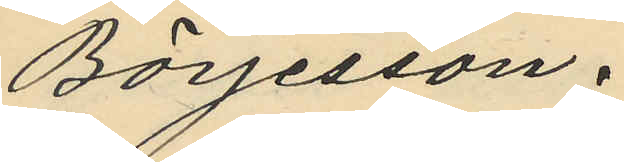Börjesson.
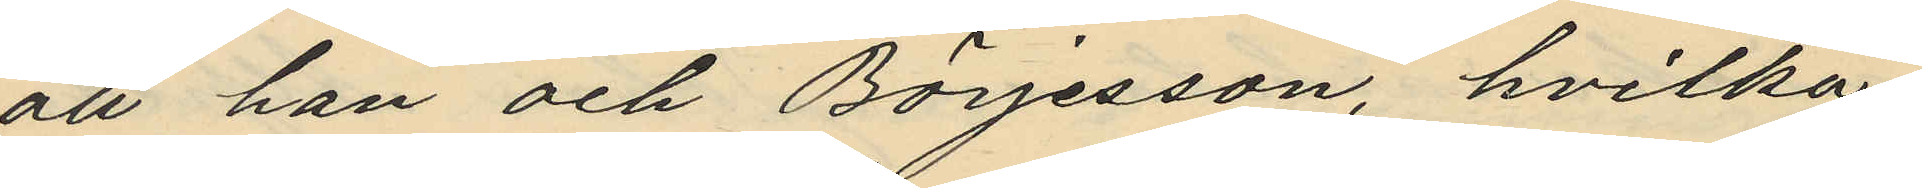att han och Börjesson, hvilka
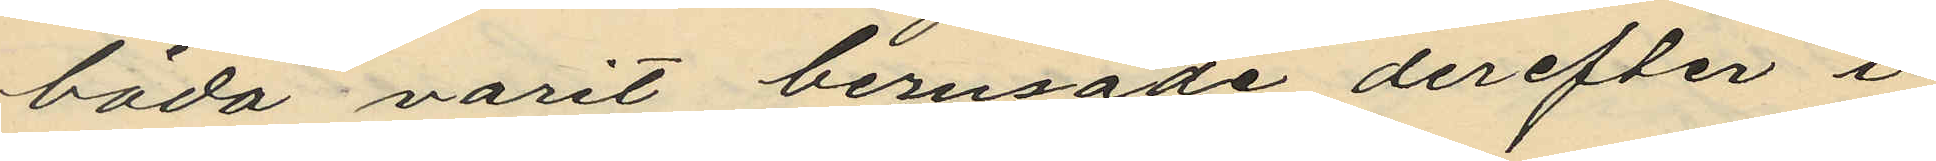båda varit berusade derefter i
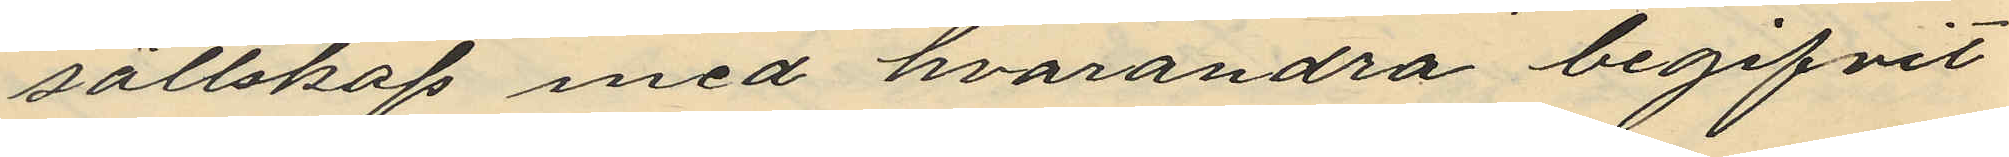sällskap med hvarandra begifvit
